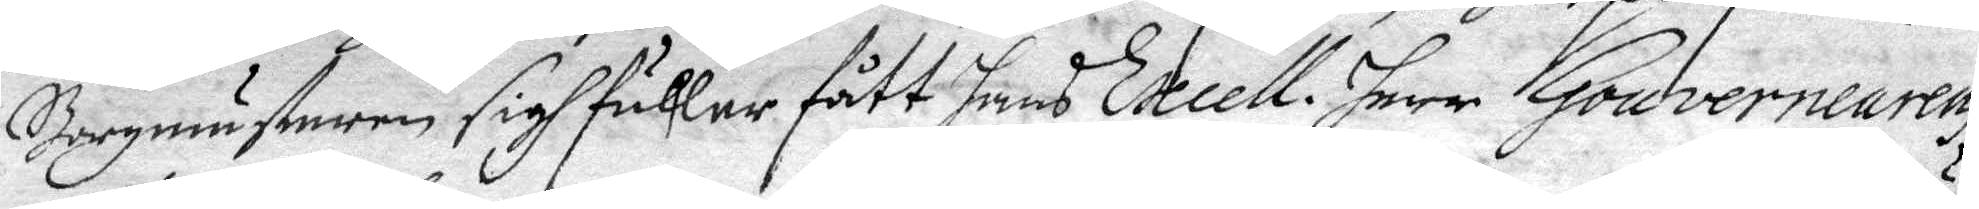Borgmästaren sigh fuller fått hans Excell: herr Gouvernearens
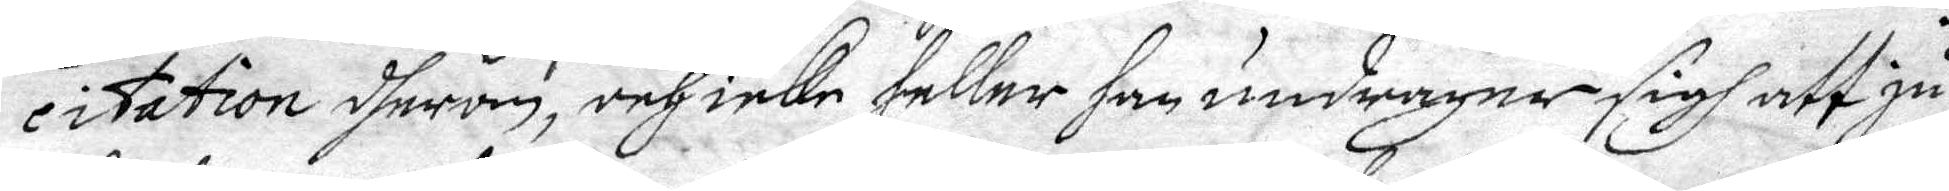citation dherom, och icke heller han undrager sigh att ju
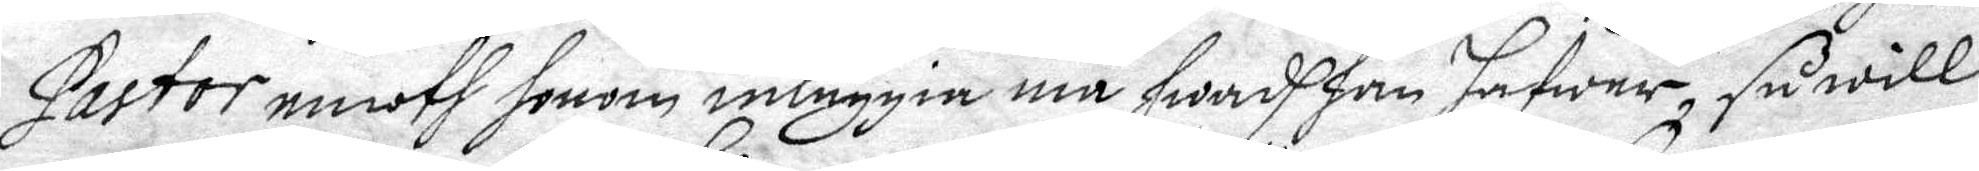Pastor emoth honom inläggia må hwad han hafwer, så will
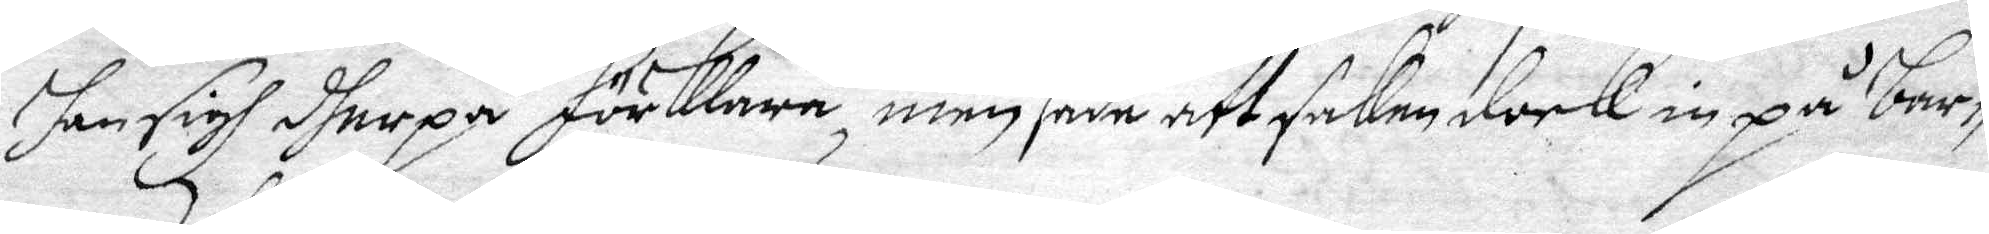han sigh dherpå förklara, men sade att saken dock in på barn¬
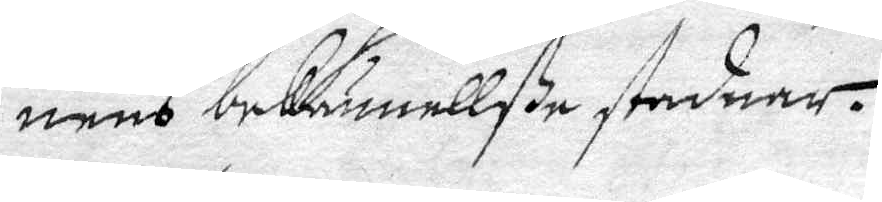nens bekännellße stadnar.
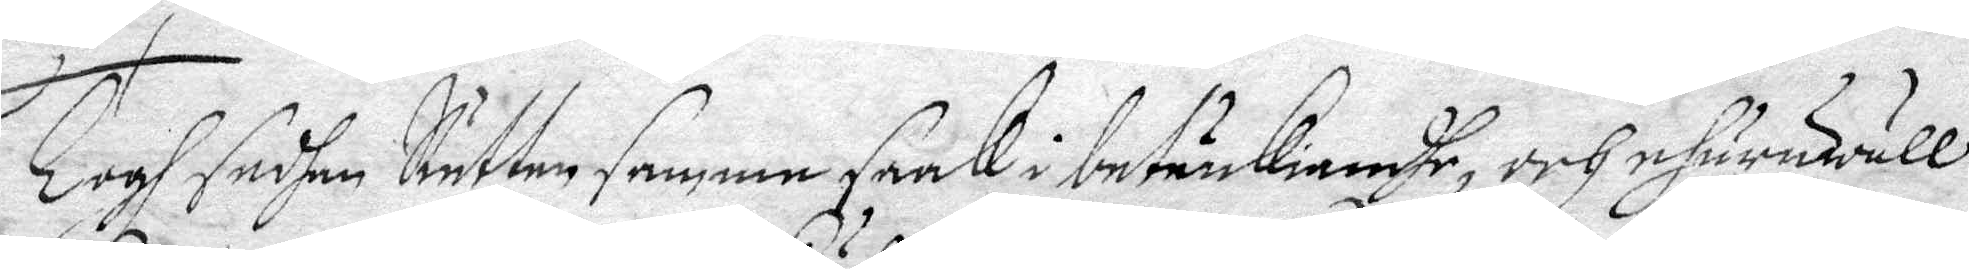Togh sedhan Rätten samma saak i betänkiande, och ehuruwäll
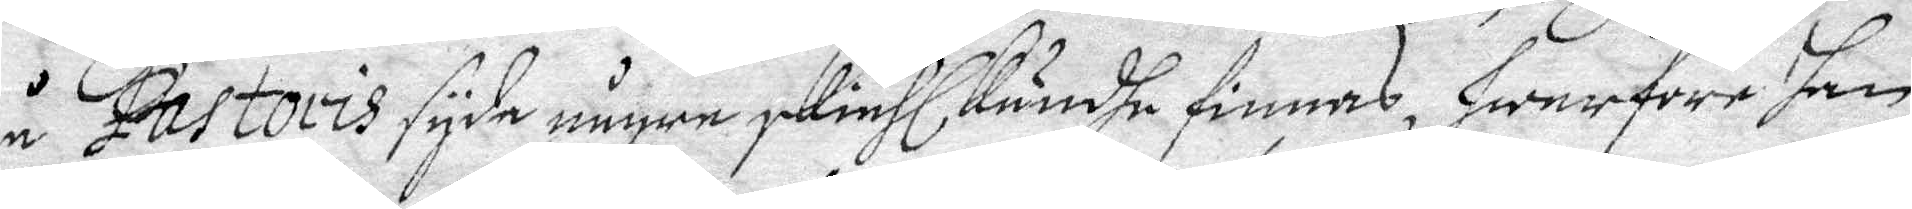å Pastoris syda någre skiähl Kundhe finnas hwarföre han
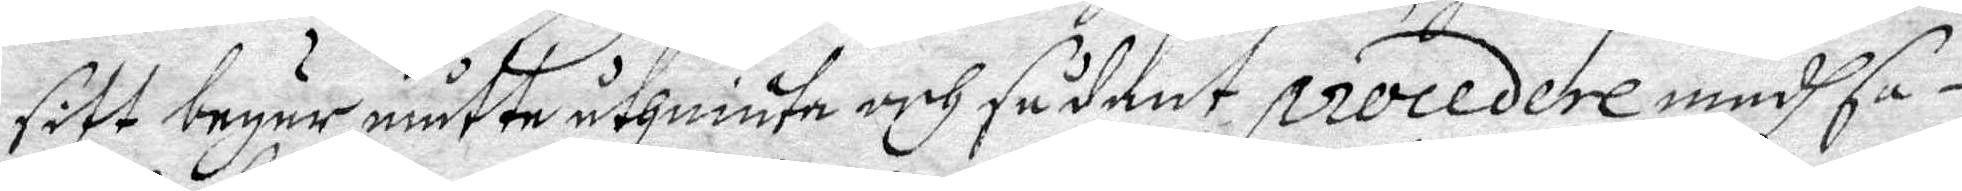sitt begär måtte uthniuta och sådant procedere medh sa¬
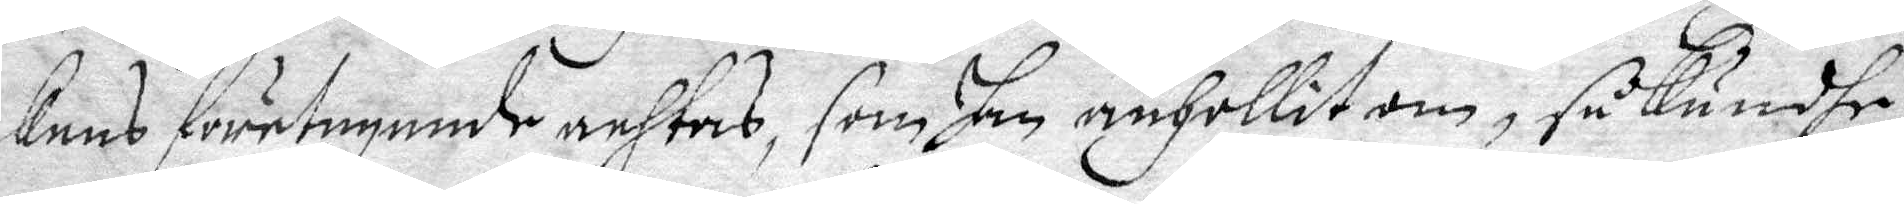kens företagande anhtas, som han anhollit om, så Kundhe
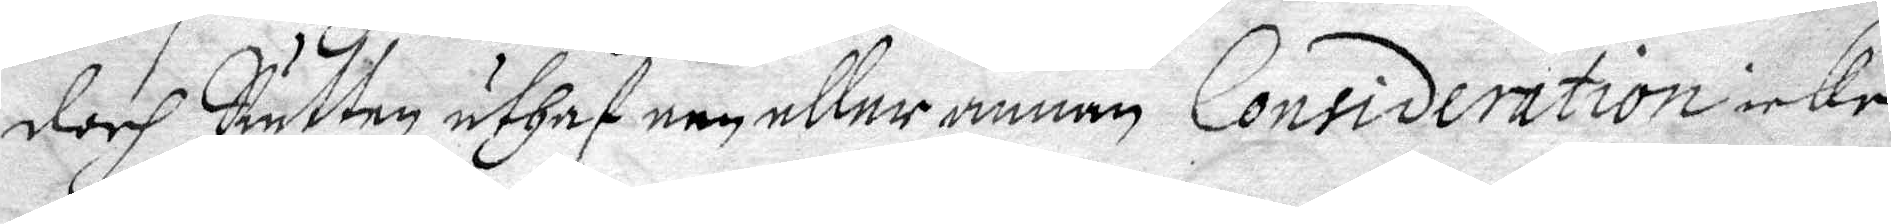doch Rätten uthaf een eller annan Consideration icke
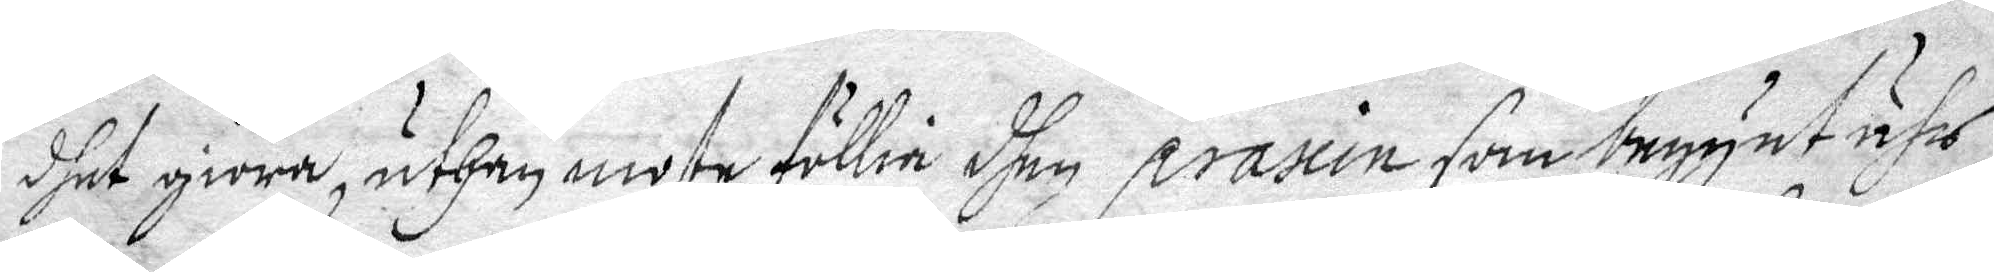dhet giöra, uthen moste föllia dhen praxin som begynt ähr
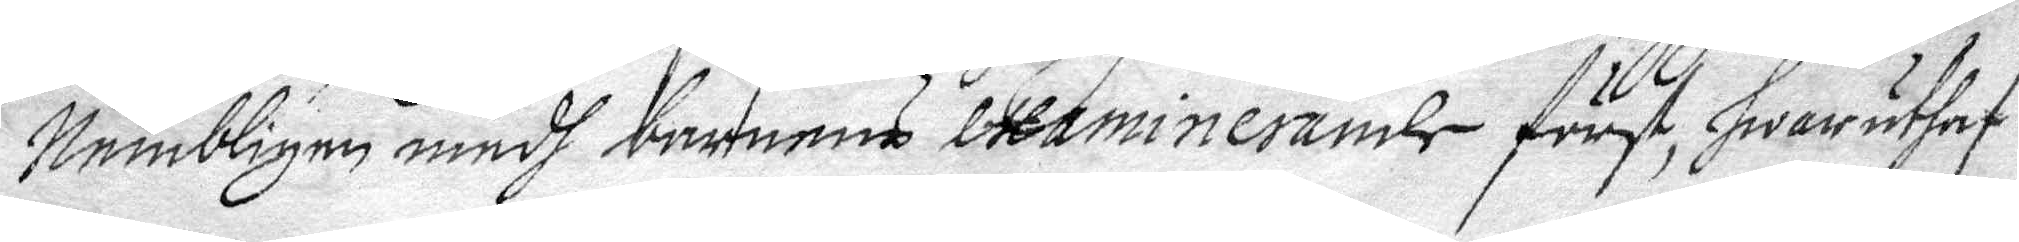Nembligen medh barnens Examinerande först, hwar uthaf
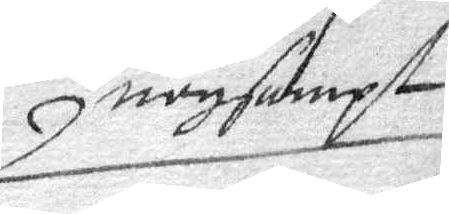nogsambt
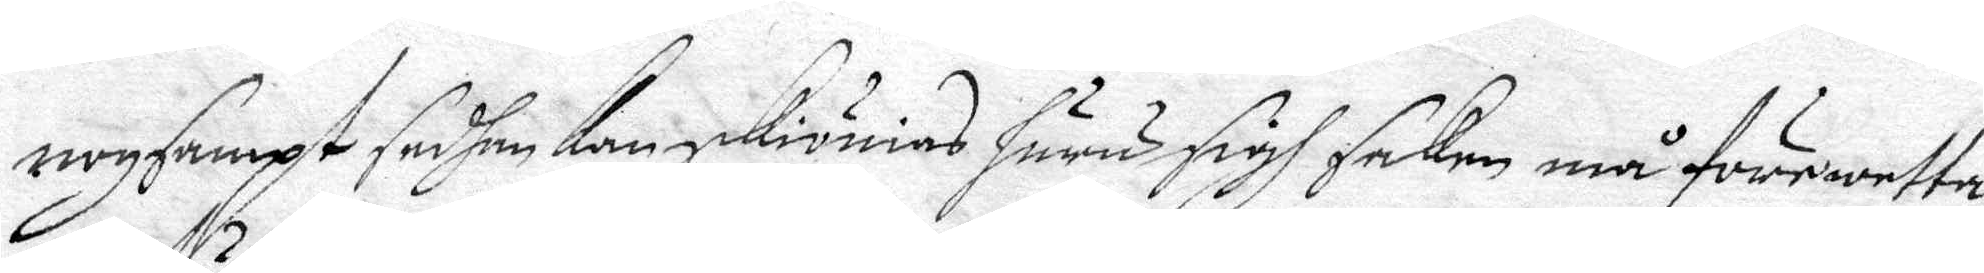nogsampt sedhan kan skiönas huru sigh saken må förewetta
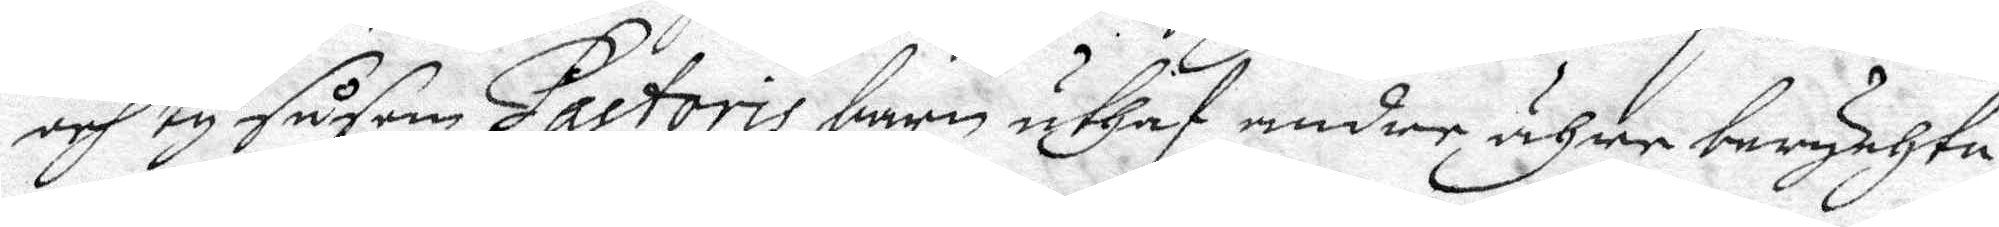och ty såsom Pastoris barn uthaf andre ähre berychta¬
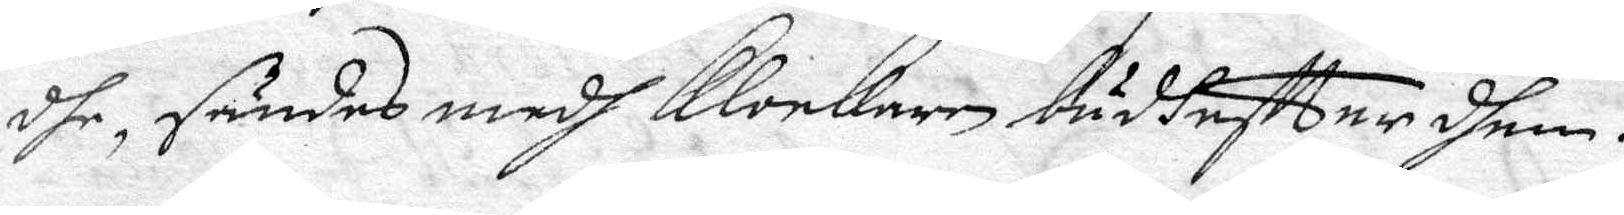dhe, sändes medh Klockaren budh effter dhem.
